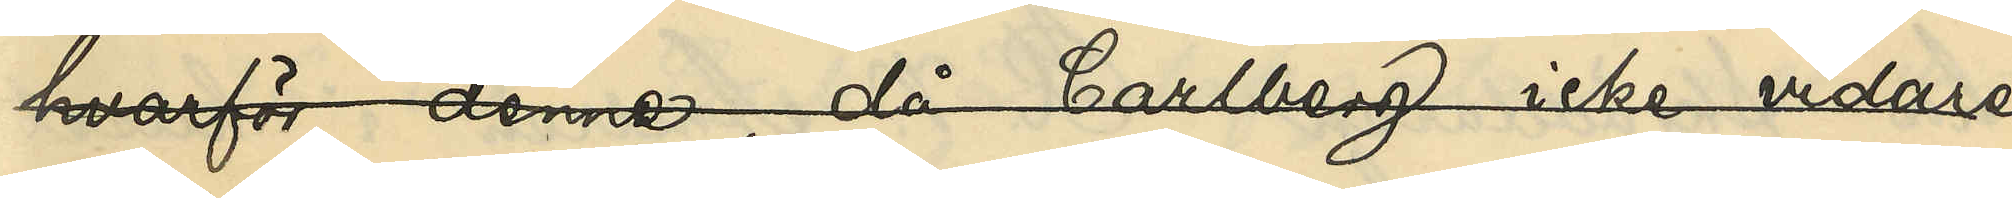hvarför denne, då Carlberg icke vidare
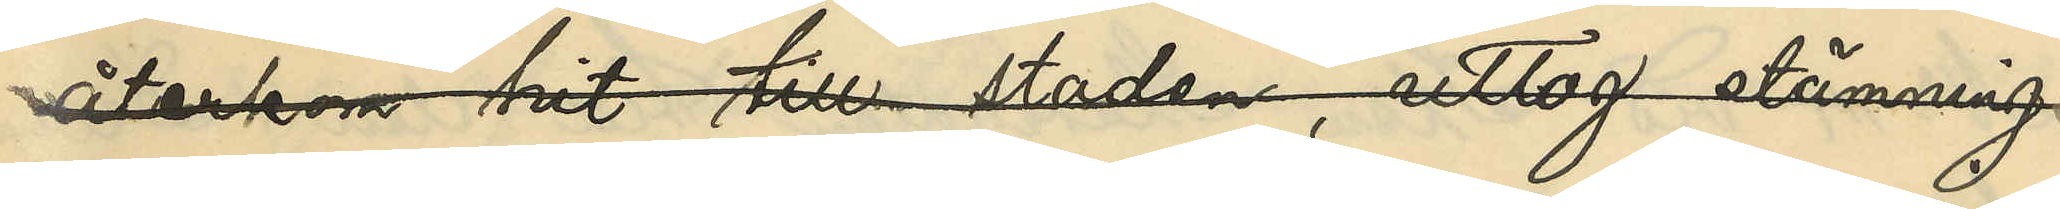återkom hit till staden, uttog stämning
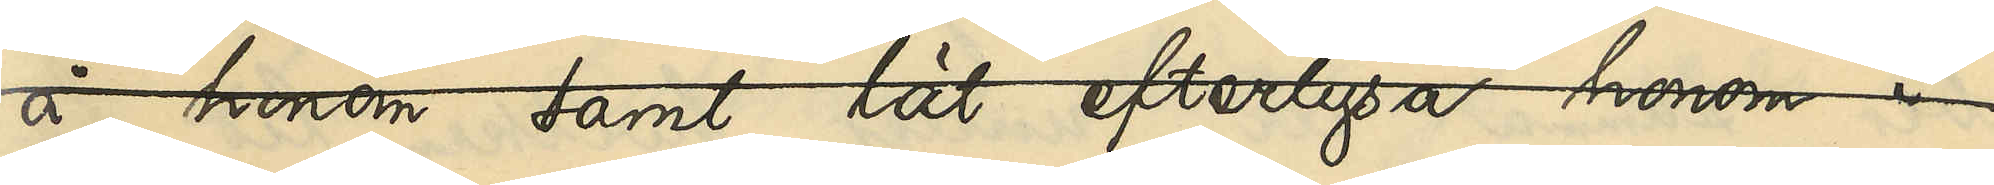å honom samt lät efterlysa honom i
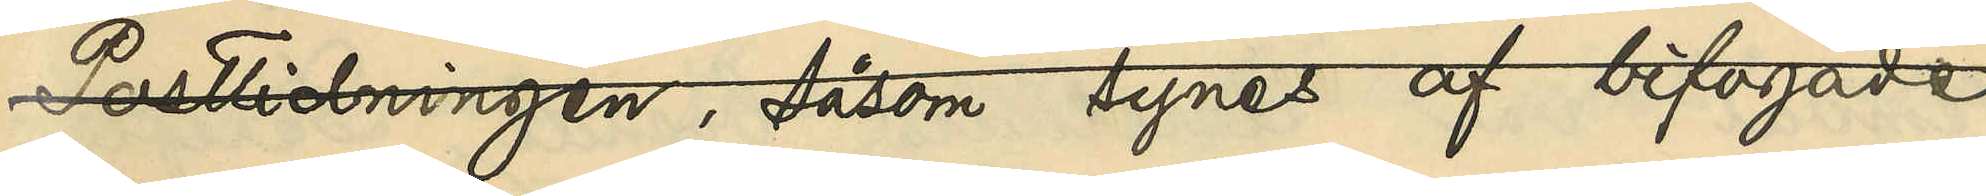Posttidningen, såsom synes af bigogade
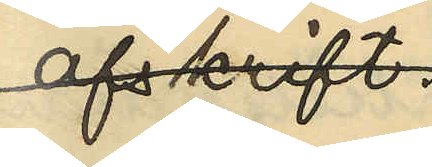afskrift.
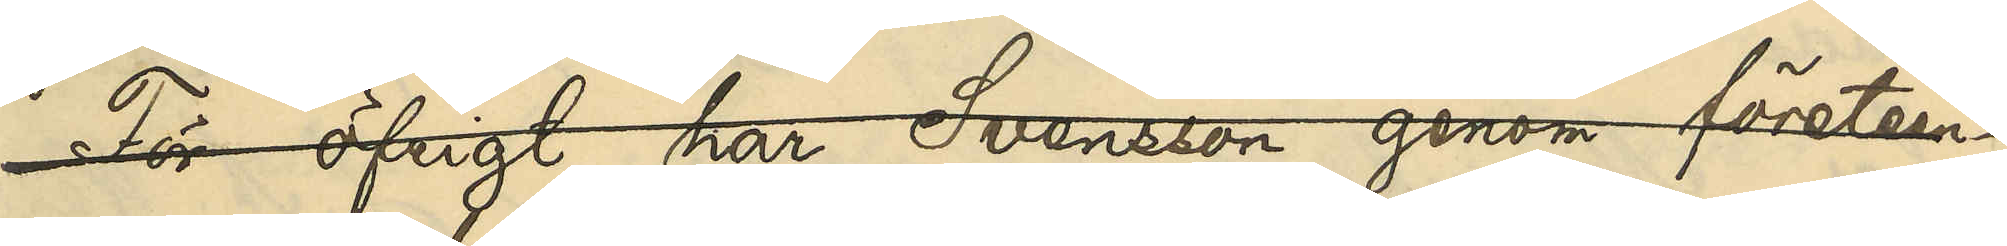För öfrigt har Svensson genom företeen¬
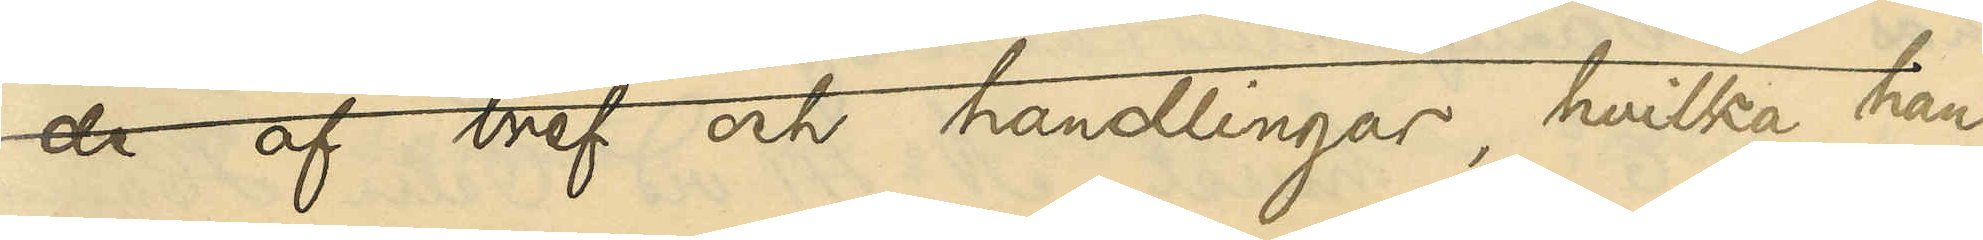de af bref och handlingar, hvilka han
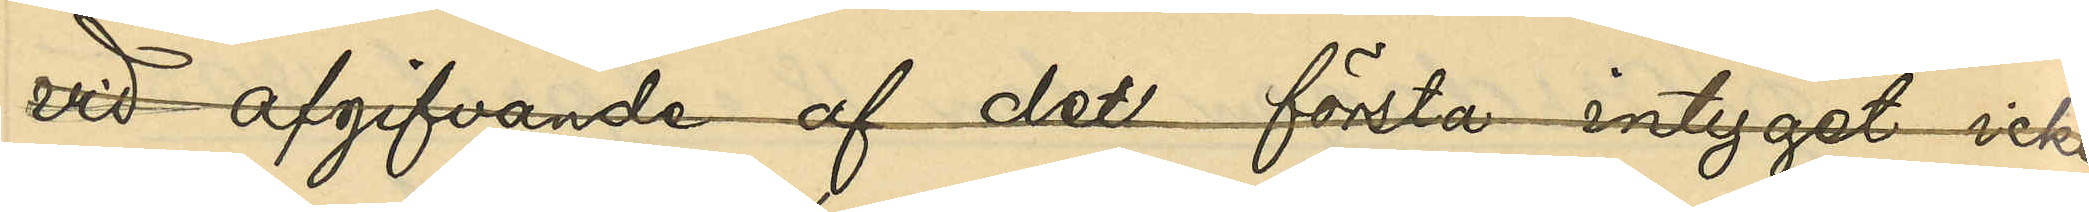vid afgifvande af det första intyget icke
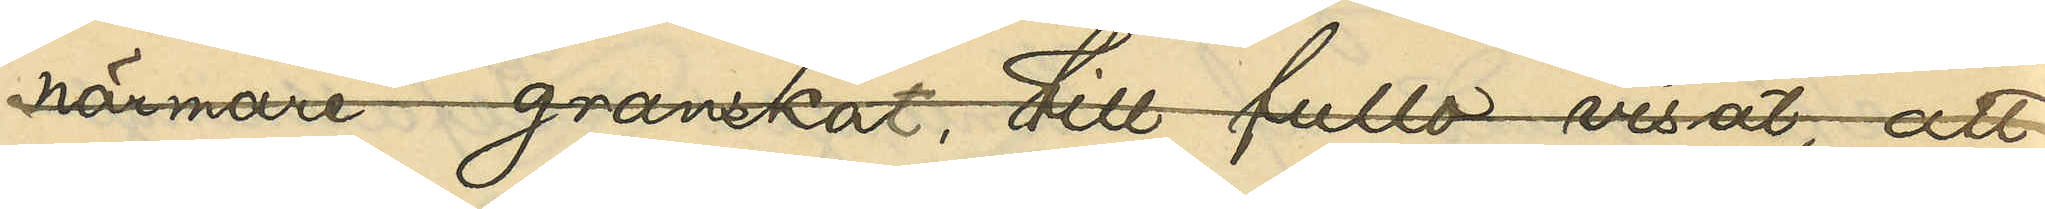närmare granskat, till fullo visat, att
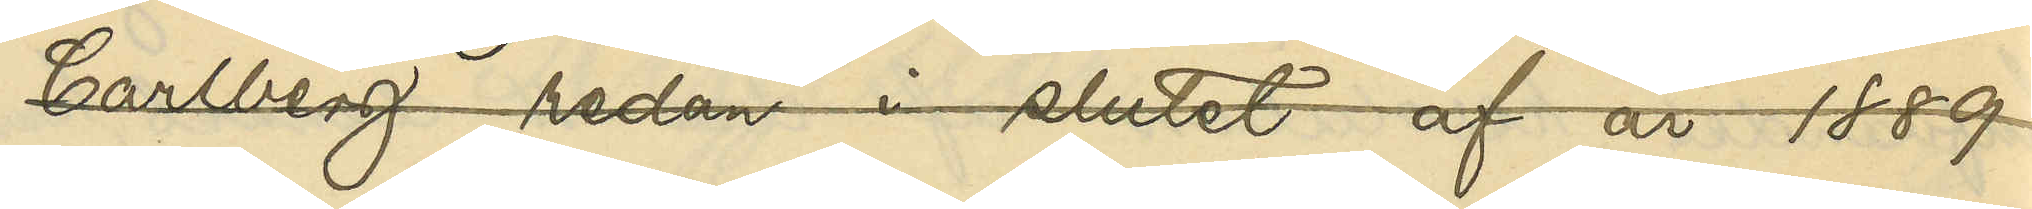Carlberg redan i slutet af år 1889
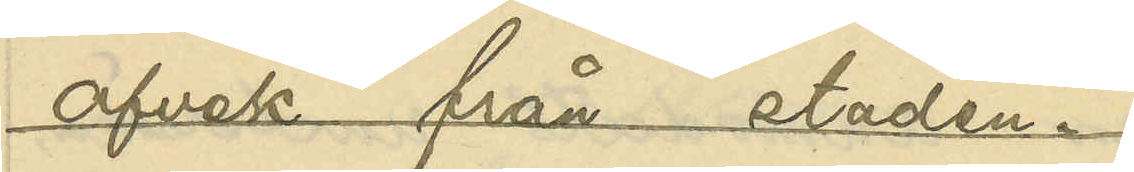afvek från staden.
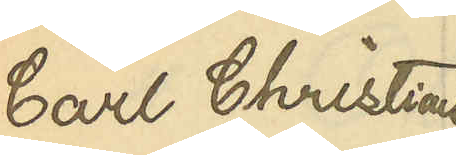Carl Christian
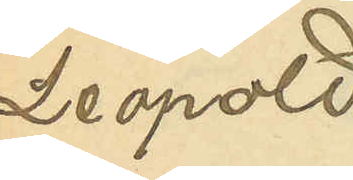Leopold
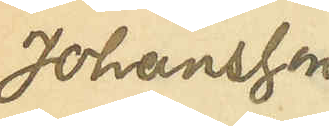Johansson
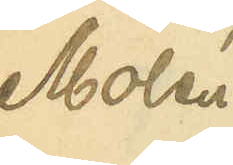Molén
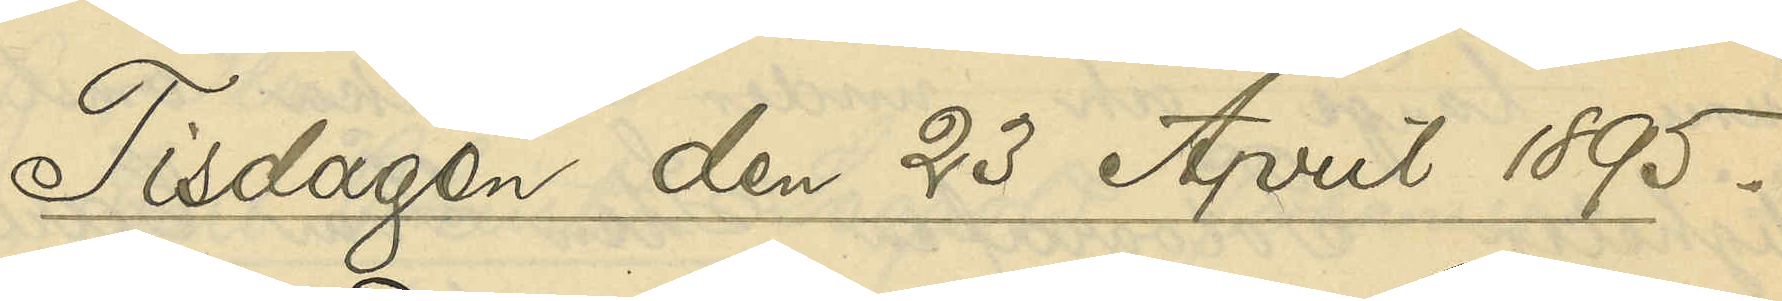Tisdagen den 23 April 1895.
